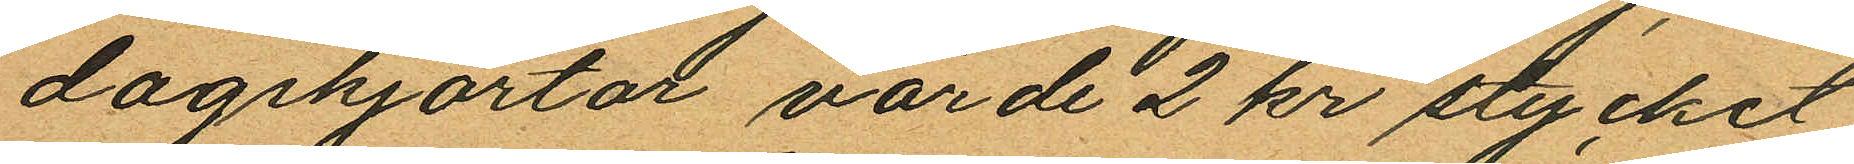dagskjortor, värde 2 kr stycket
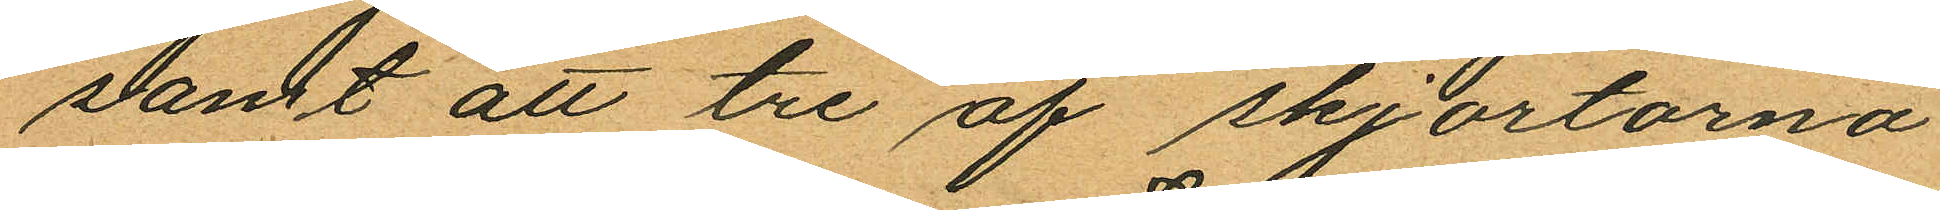samt att tre af skjortorna
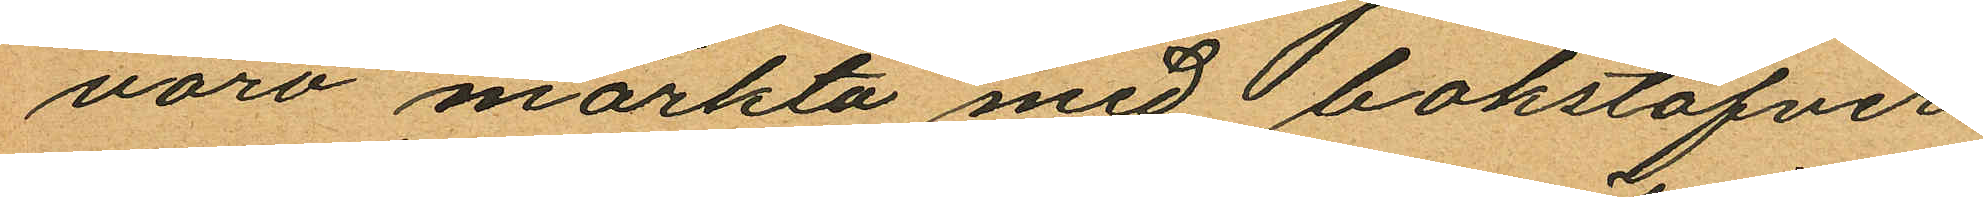voro märkta med bokstäfver¬
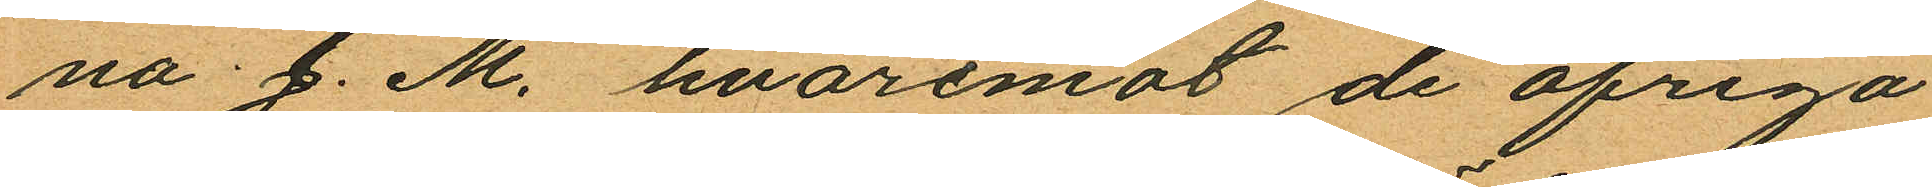na J.M. hvaremot de öfriga
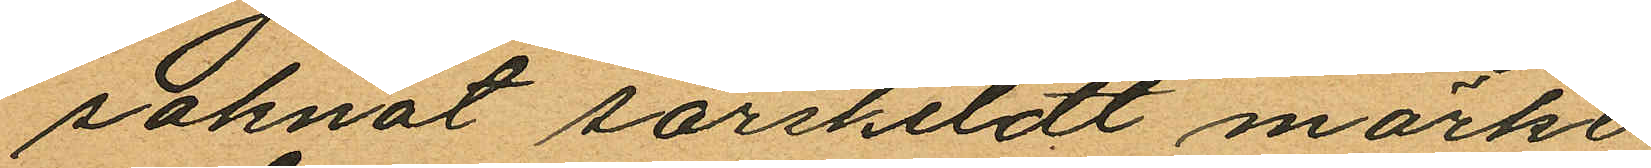saknat särskildt märke.
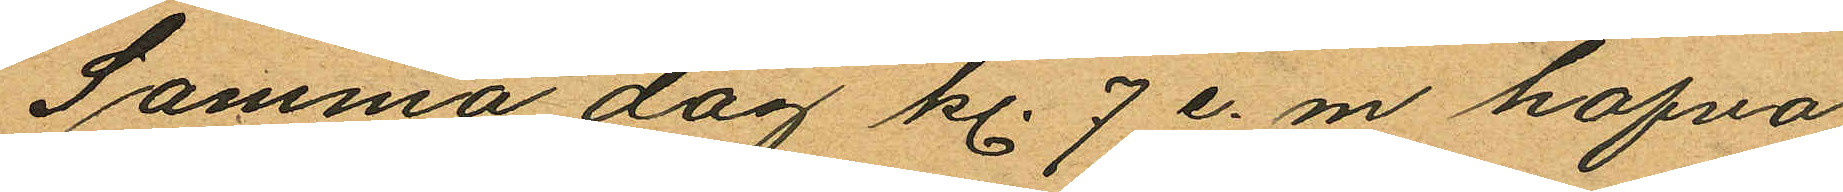Samma dag kl. 7 e. m. hafva
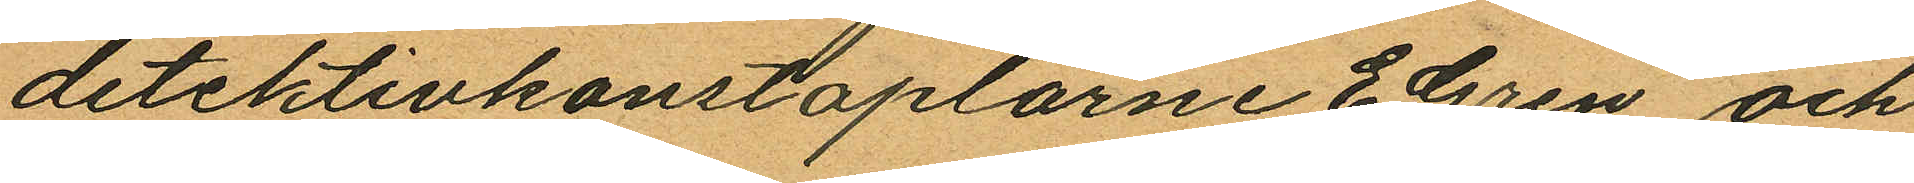detektivkonstaplarne E Gren och
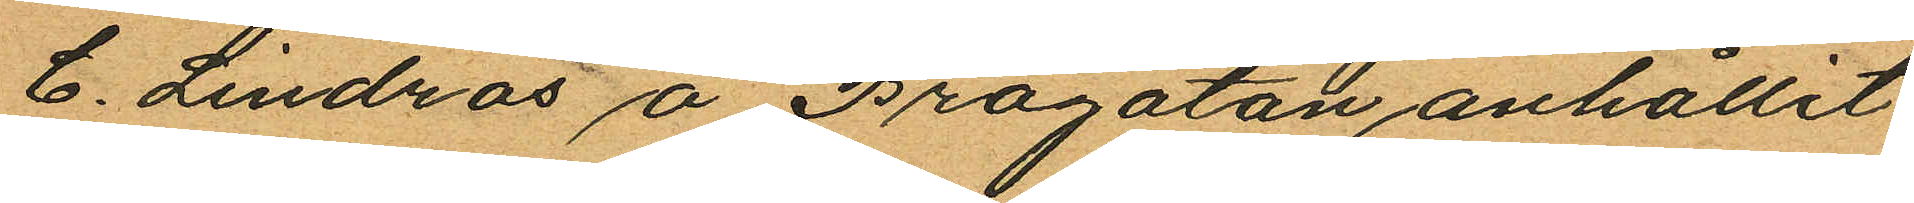C. Lindros å Brogatan anhållit
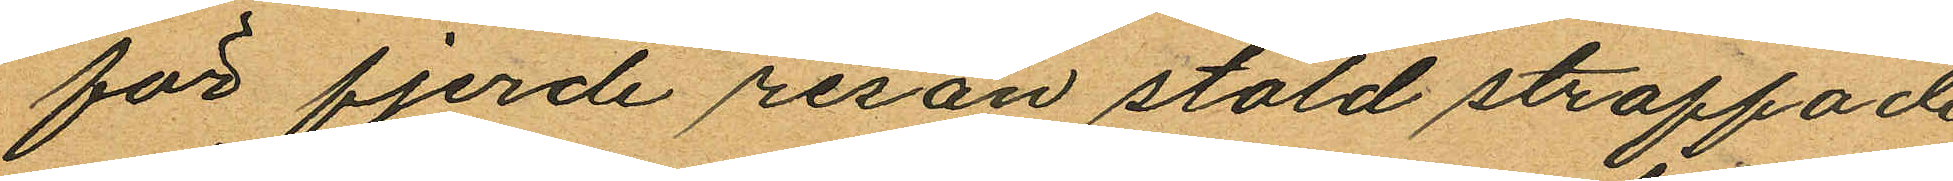för fjerde resan stöld straffade
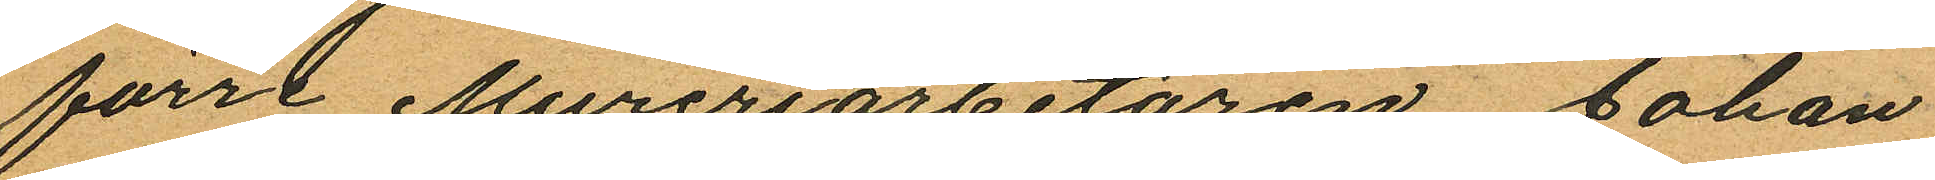förre Mureriarbetaren Johan
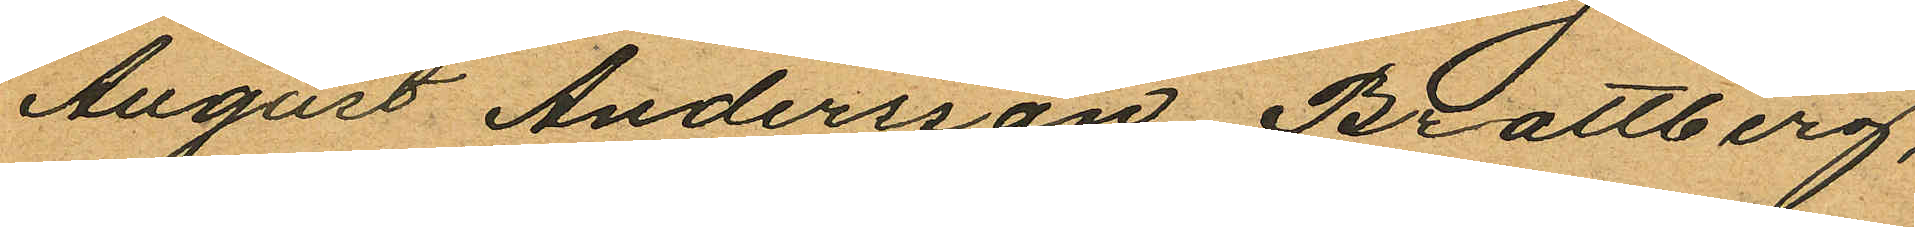August Andersson Brattberg,
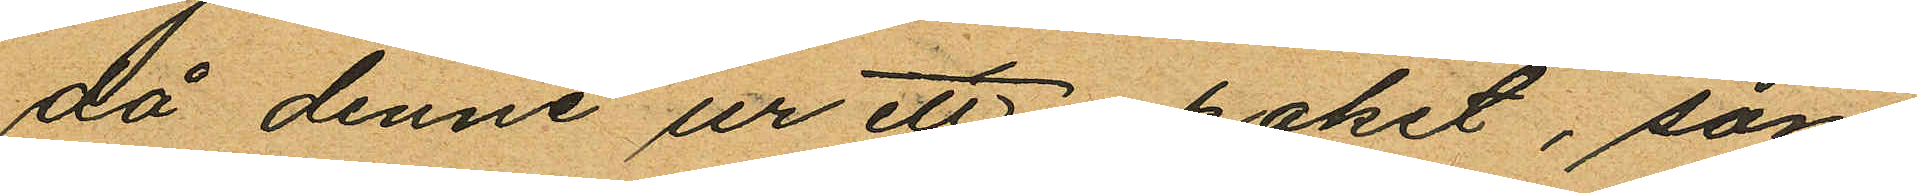då denne ur ett paket, som
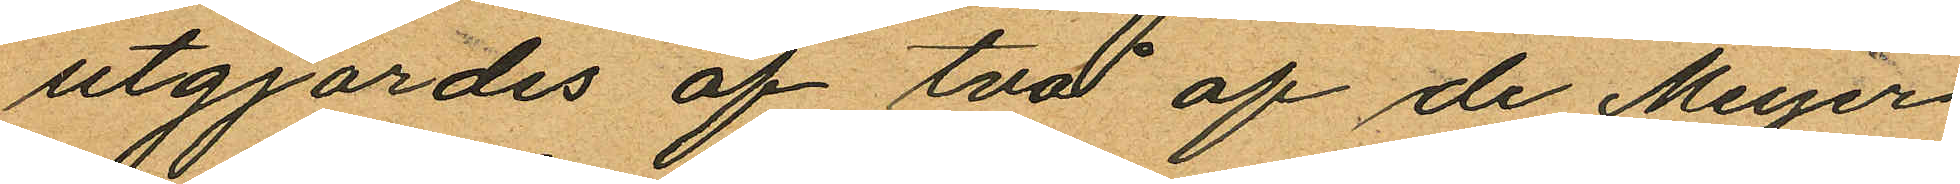utgjordes af två af de Meyer
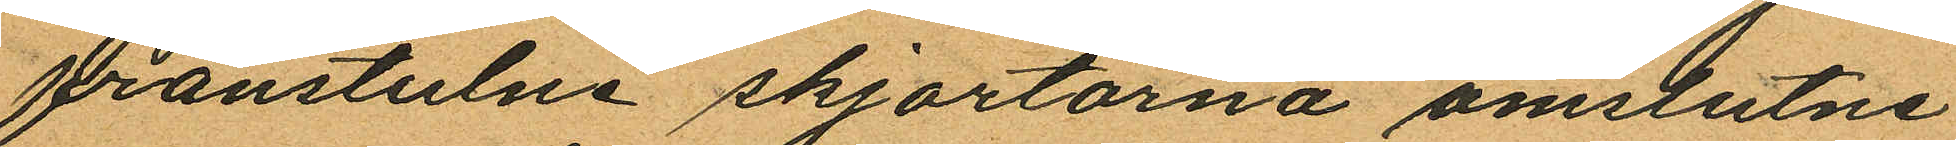frånstulne skjortorna omslutne
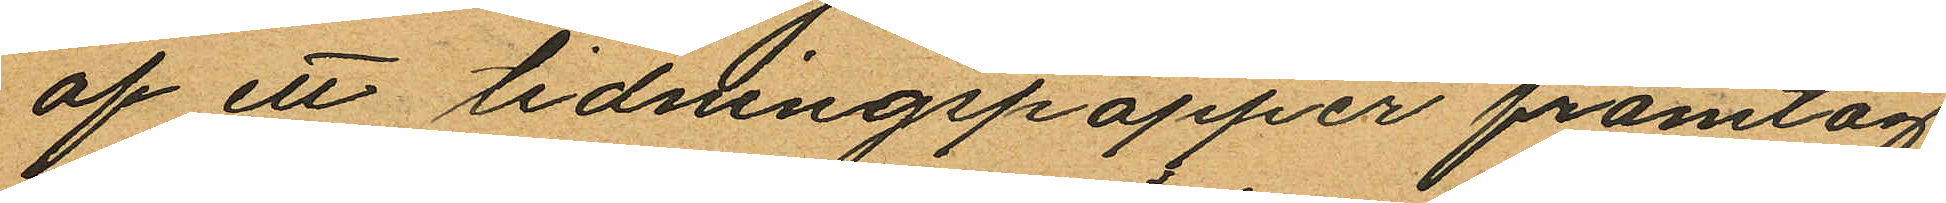af ett tidningspapper framtog
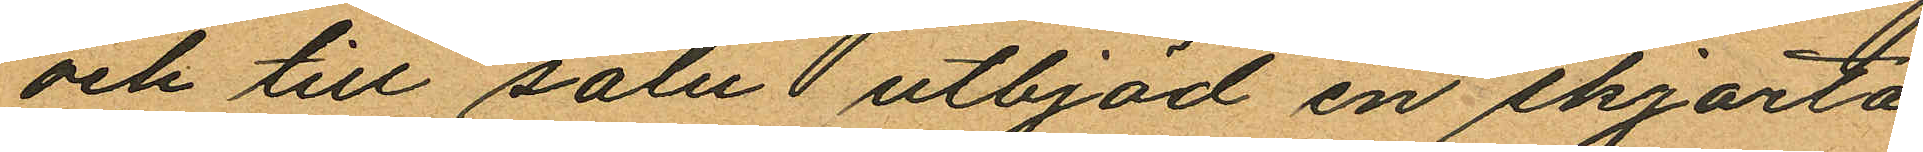och till salu utbjöd en skjorta
